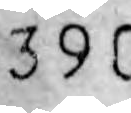390
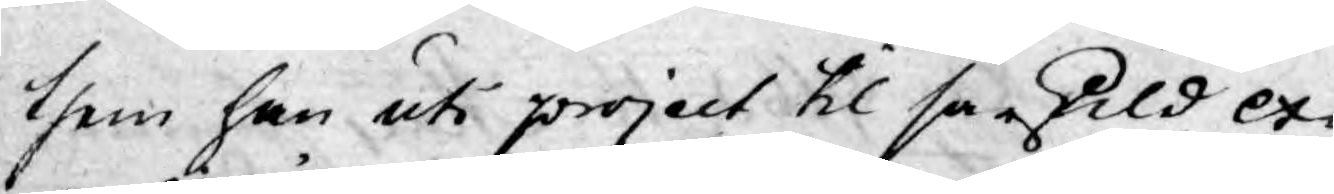them han uti project til särskild ex¬
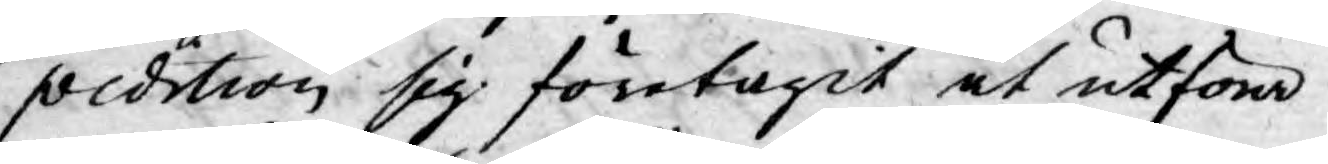pedition sig företagit at utföra
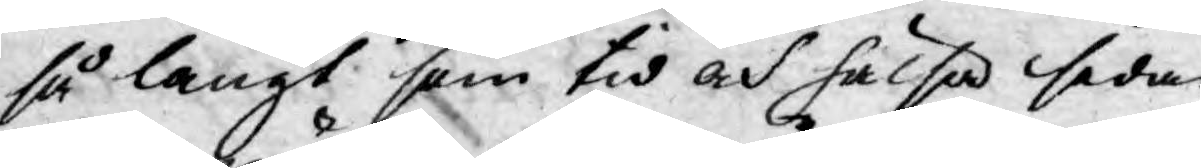så långt som tid och hälsa sedan
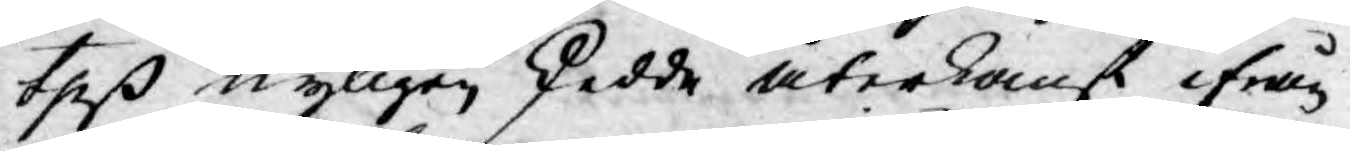theß nyligen skedde återkomst ifrån
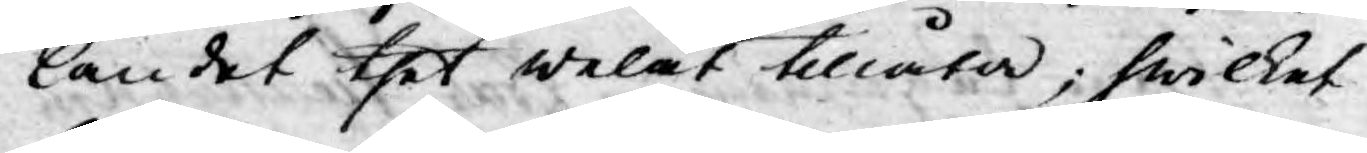landet thet welat tillåta; hwilket
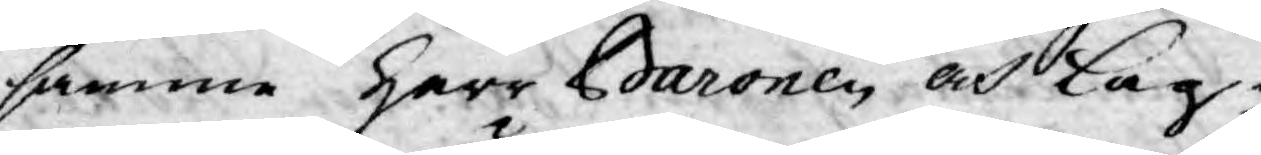samma Herr Baronen och Lag¬
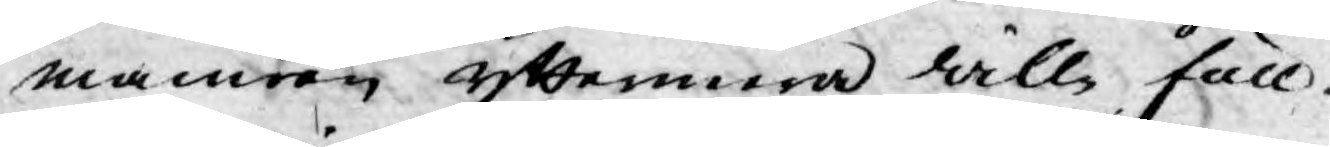manren yttermera wille full¬
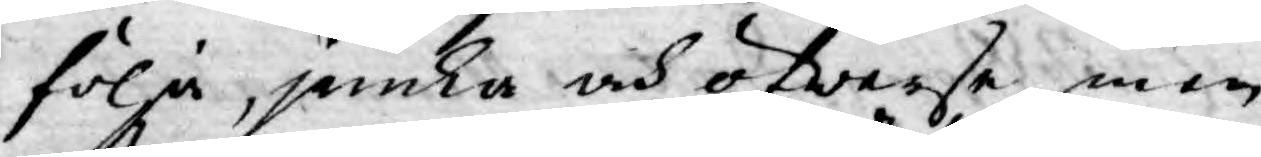följa, jemka och öfwerse men
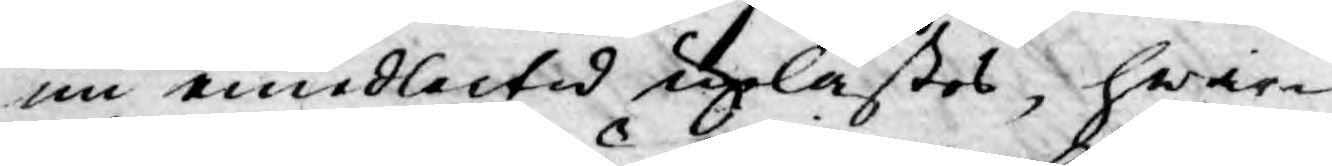nu emedlertid uplästes, hwar¬
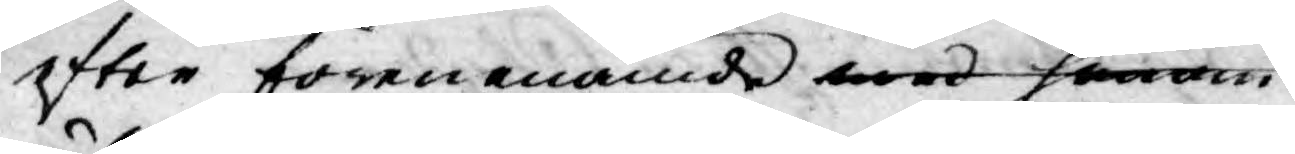efter förenenämde med honom
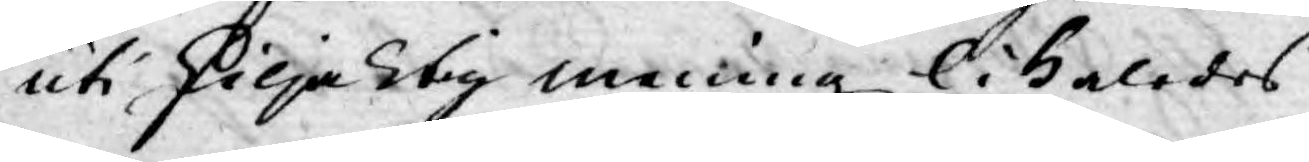uti skiljaktig mening likaledes
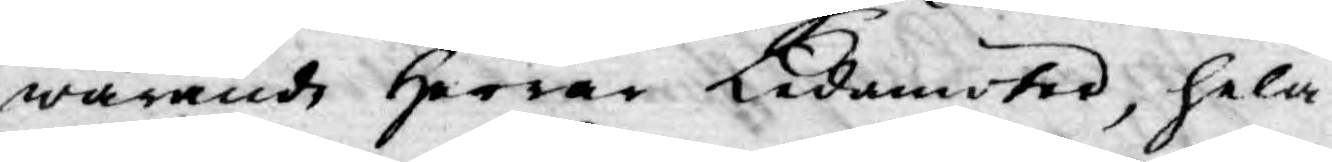warande Herrar Ledamöter, hela
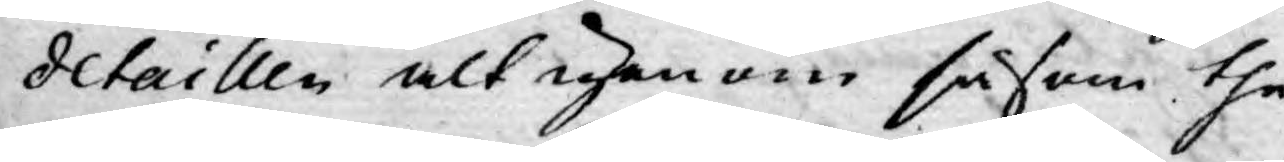detaillen alt igenom såsom the¬
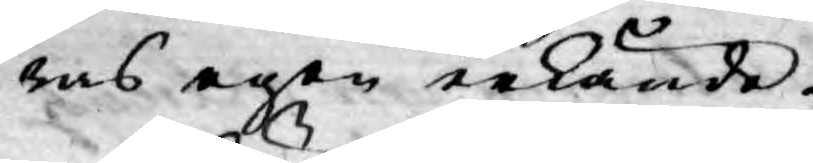ras egen erkände.
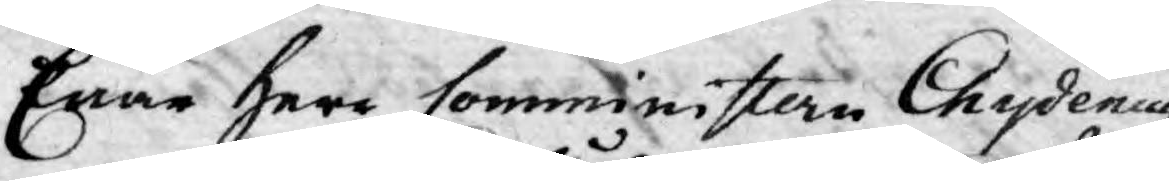Enär Herr Comministern Chydenius
